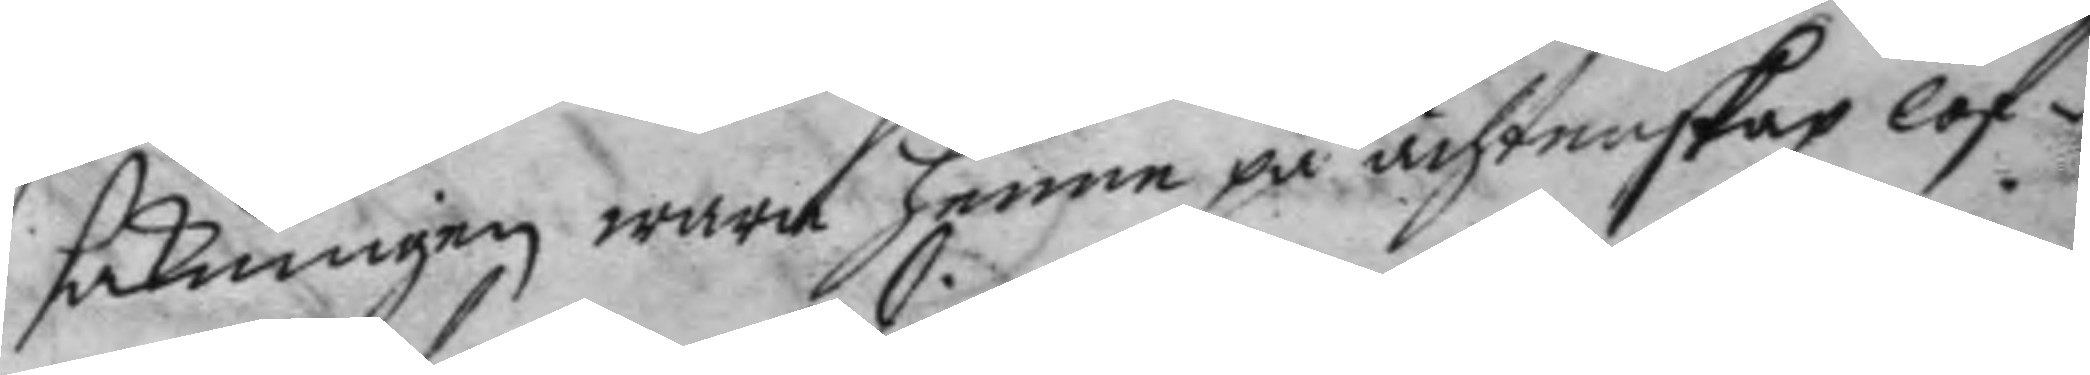sakningen, wara henne på ächtenskap lof¬
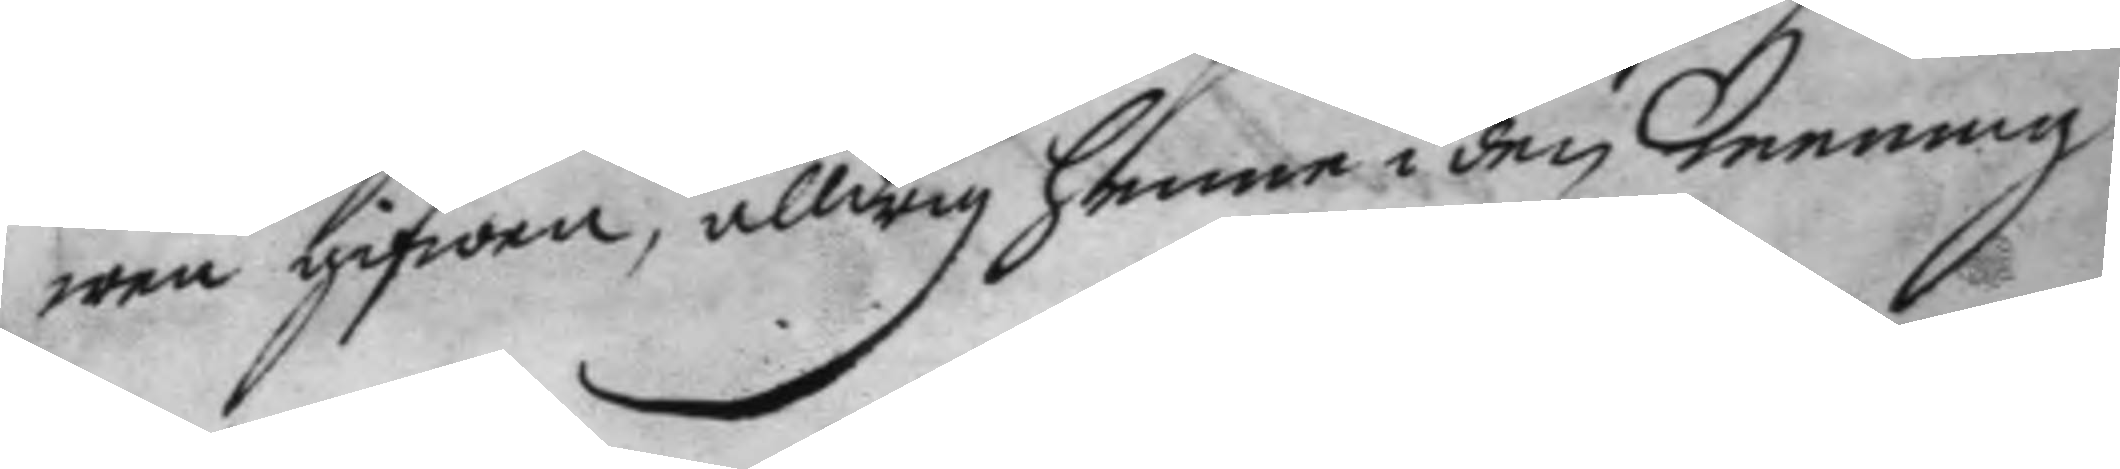wen gifwen, alldrig henne i den mening
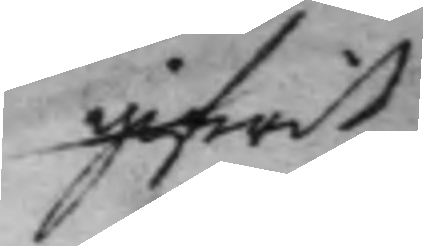gifwit
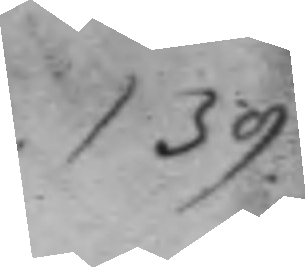139.
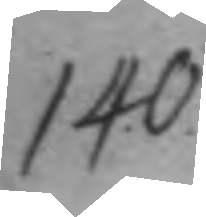140.
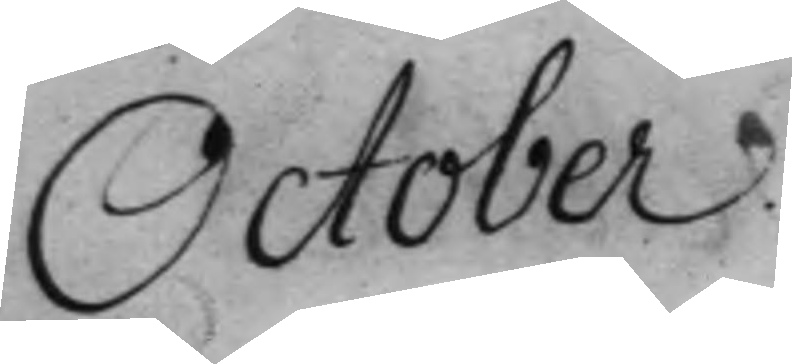October.
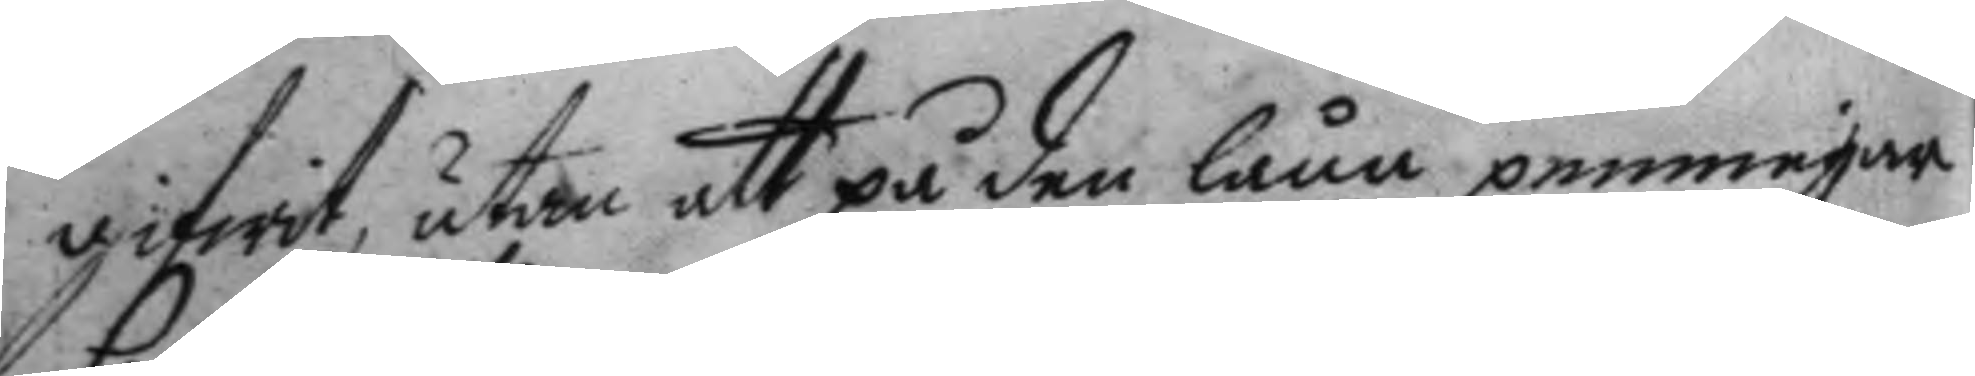gifwit, utan att på den låna penningar
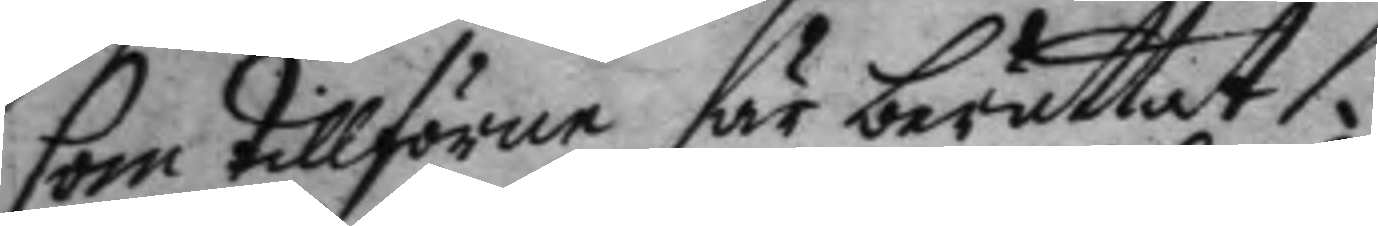som tillförne är berättat.
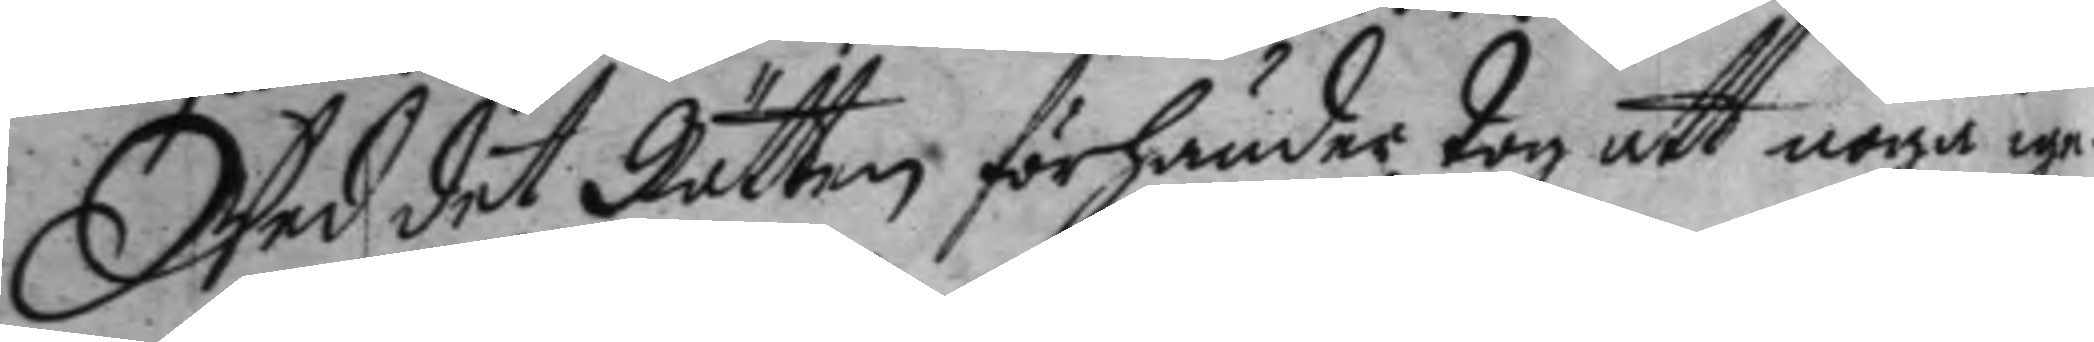Wed det Rätten förhänder tog att noga ige¬
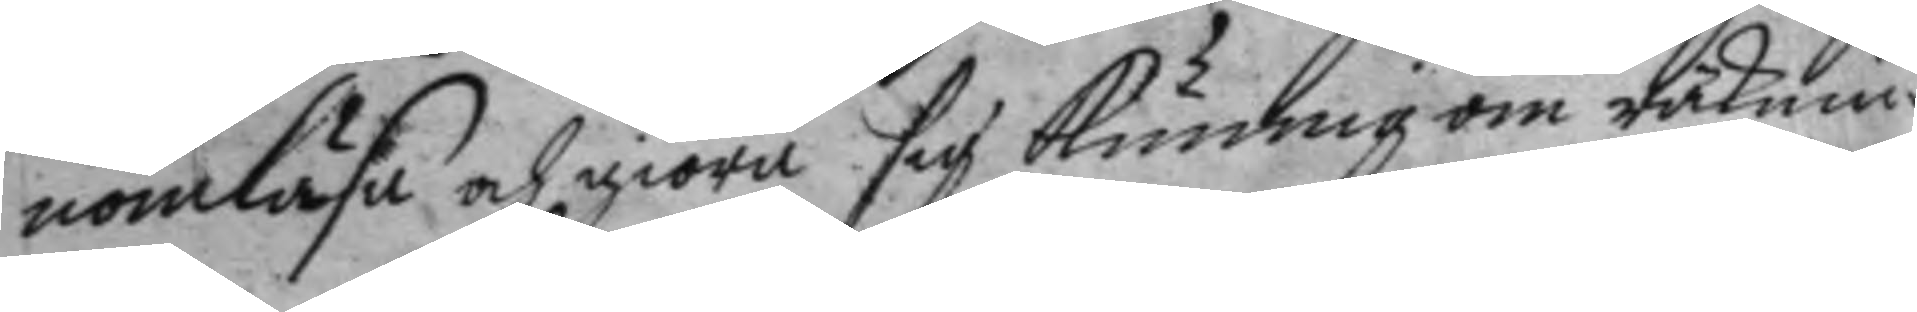nomläsa, och giöra sig kunnig om räknin¬
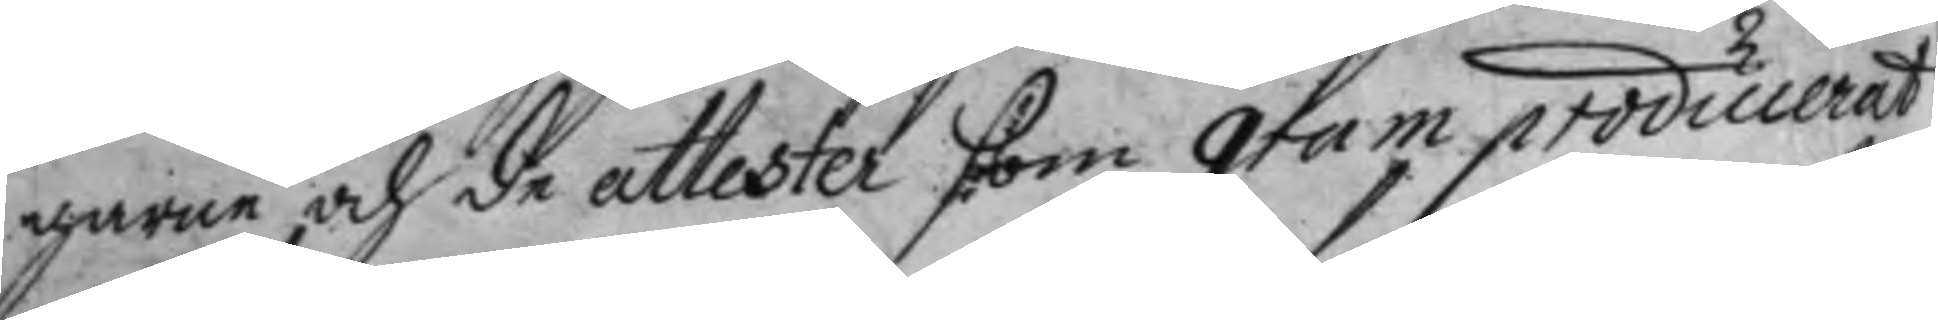garne och de attester som gram producerat
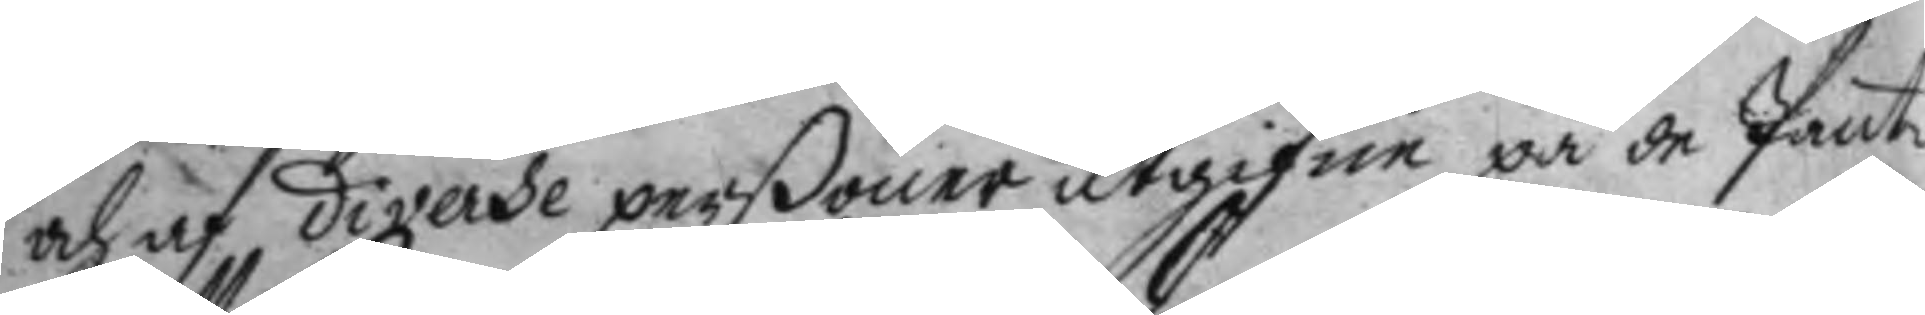och af diverse perßoner utgifne på de Pante¬
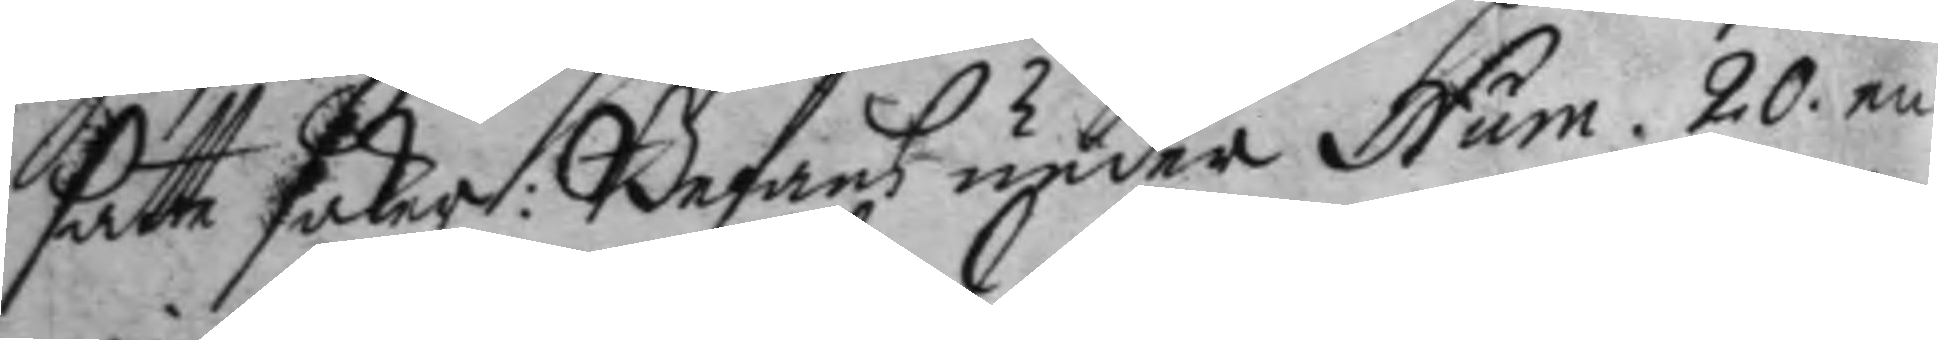fatte saker: Befans under Num. 20. en
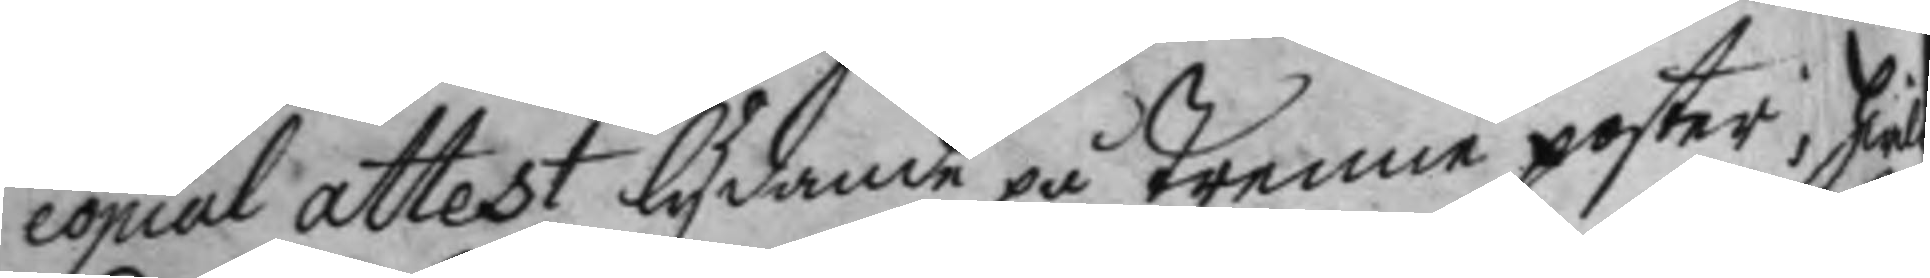copial attest lydande på Trenne poster, hwil¬
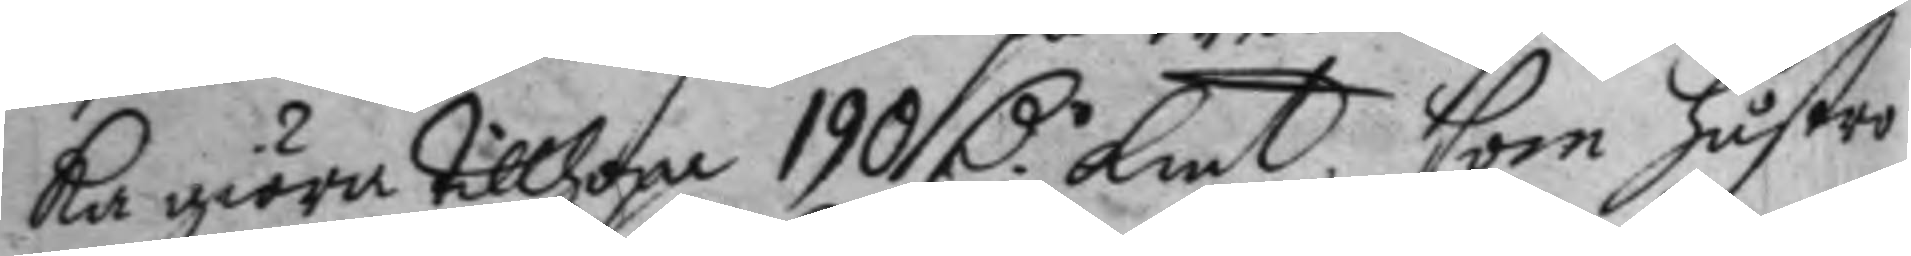ka giöra tillhopa 190 D.r Kmt. som hustro 
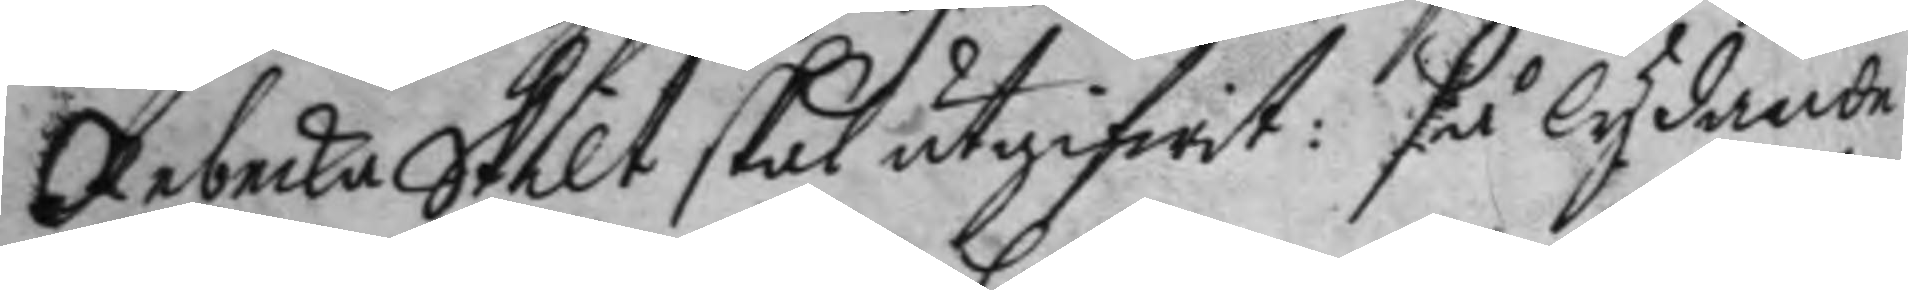Rebecka Skilt skal utgifwit: få lydande
